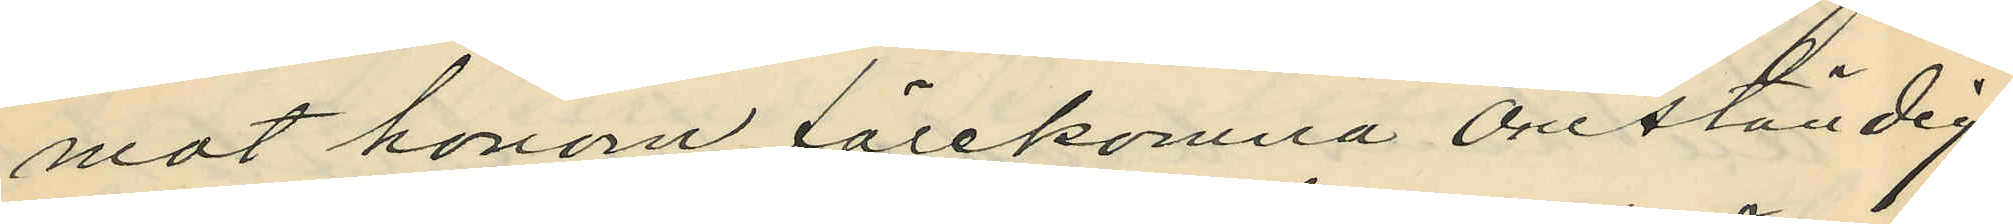mot honom förekomna omständig¬
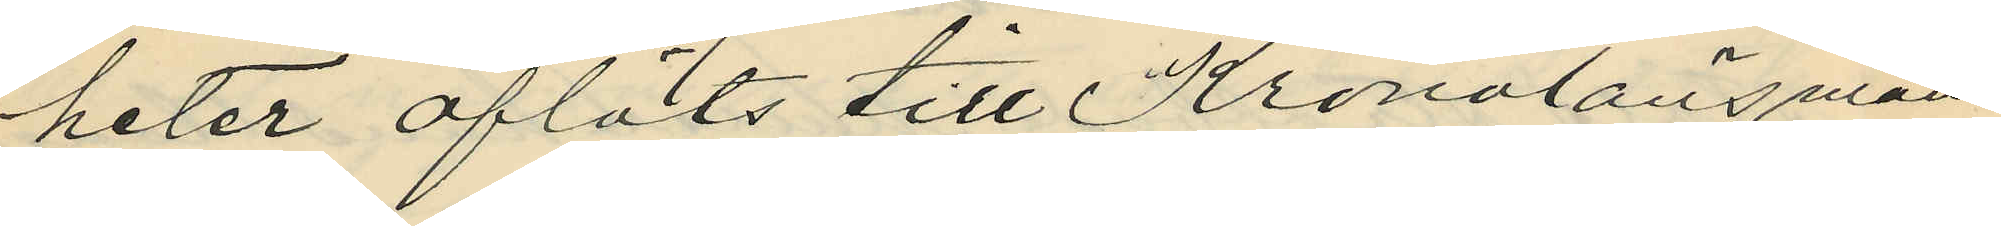heter afläts till Kronolänsman¬
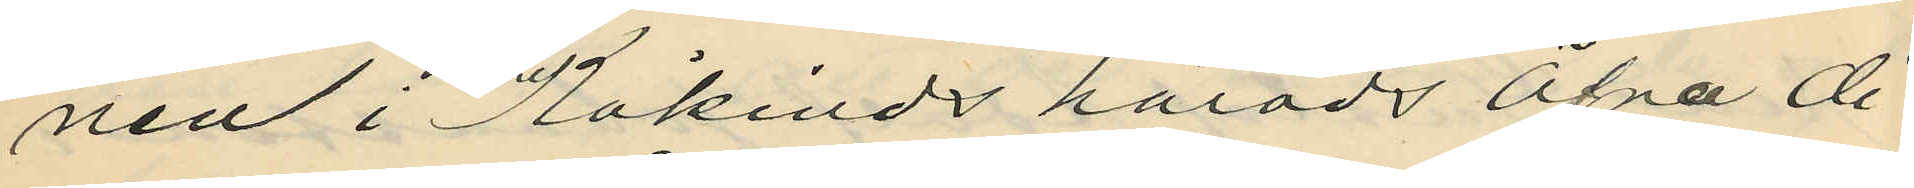nen i Kåkinds härads öfra di¬
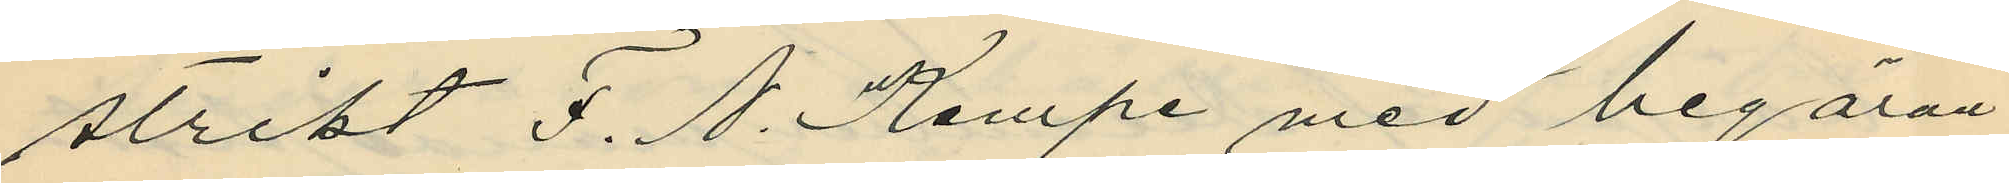strikt F. N. Kempe med begäran
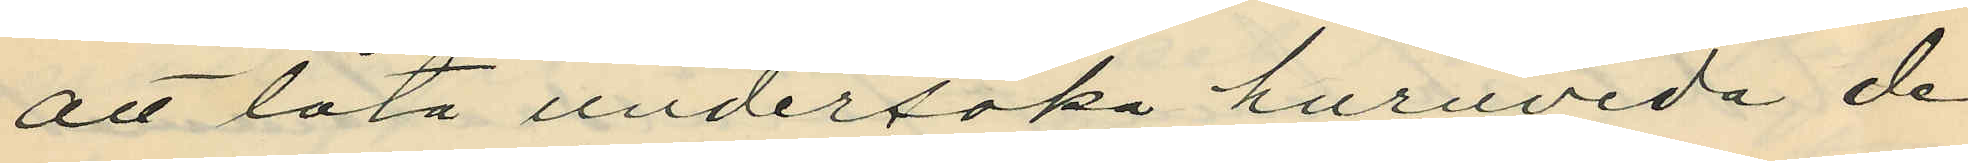att låta undersöka huruvida de
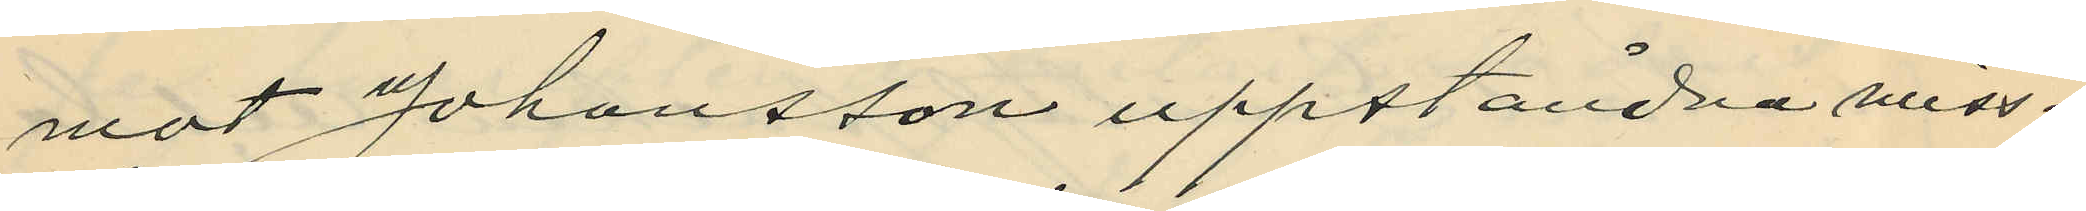mot Johansson uppståndna miss¬
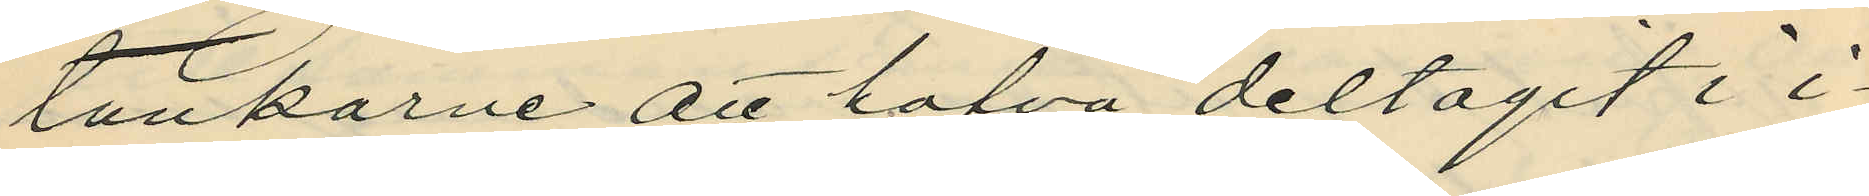tankarne att hafva deltagit i i¬
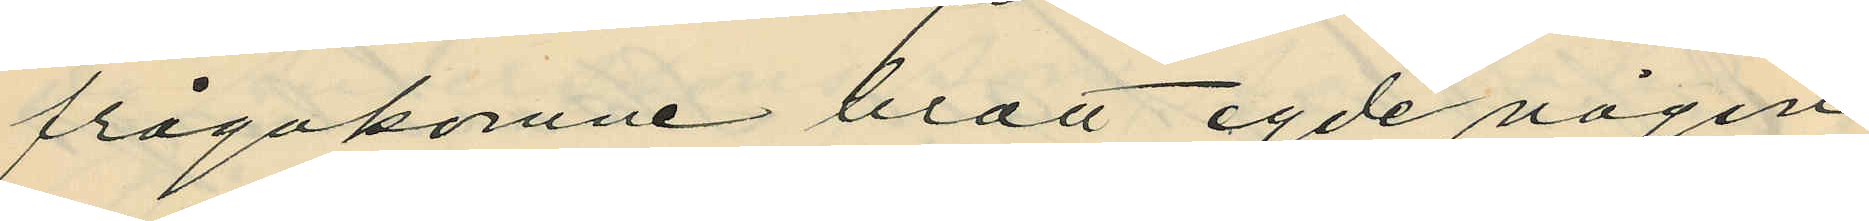frågakomne brott egde någon
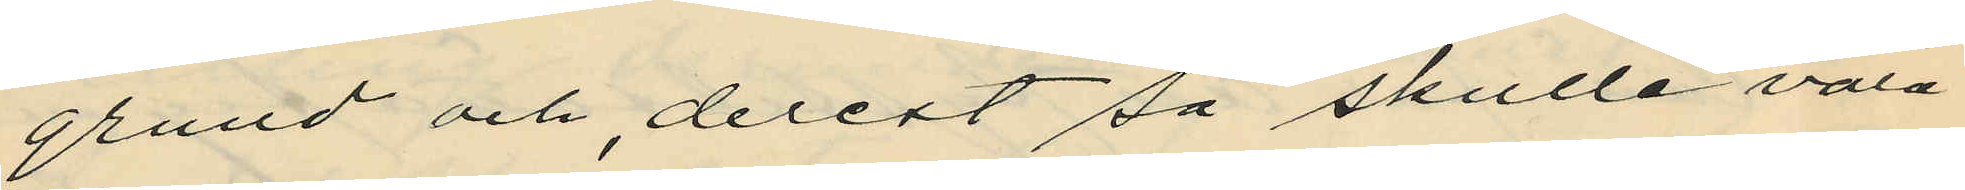grund och, derest så skulle vara
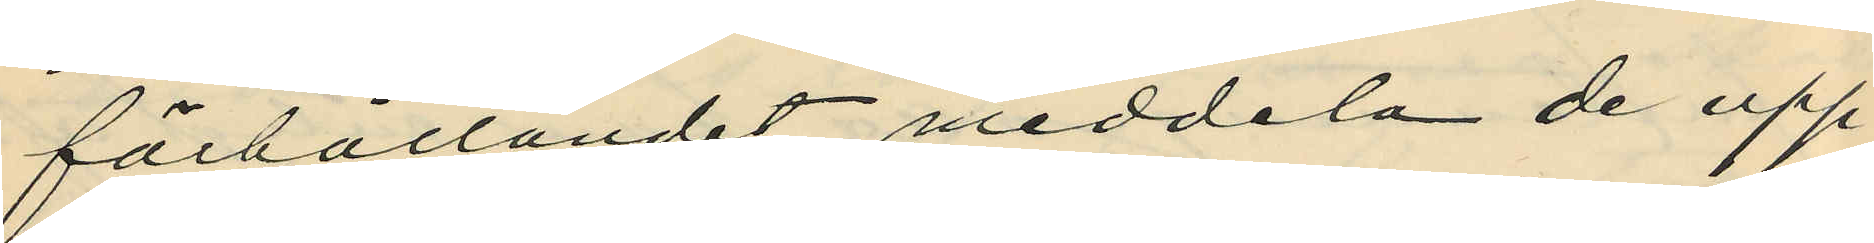förhållandet, meddela de upp¬
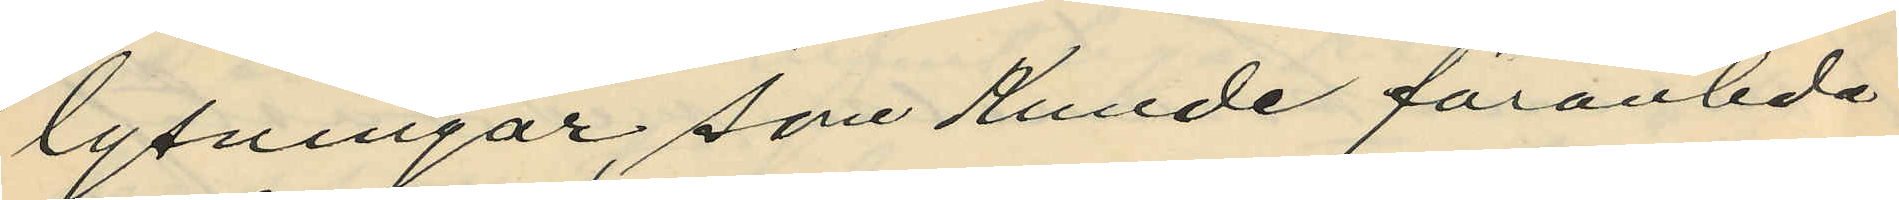lysningar, som kunde föranleda
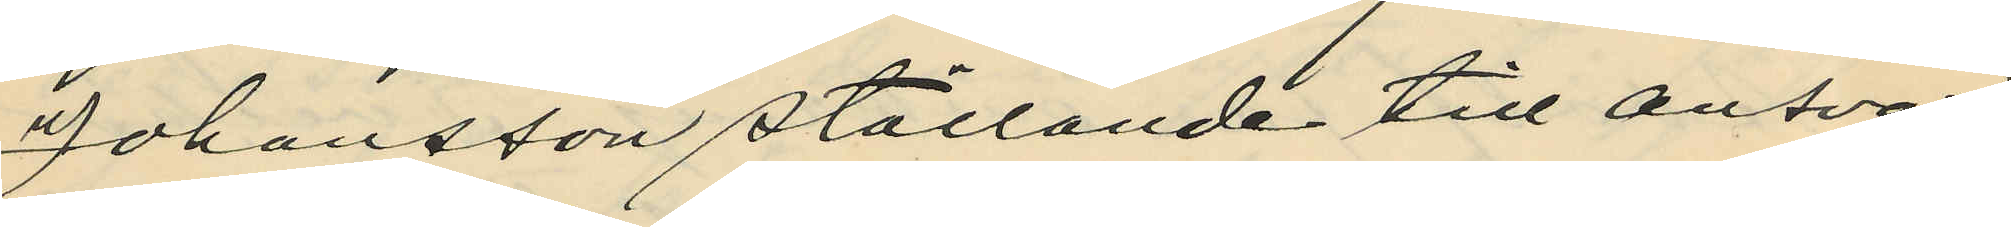Johansson ställande till ansvar
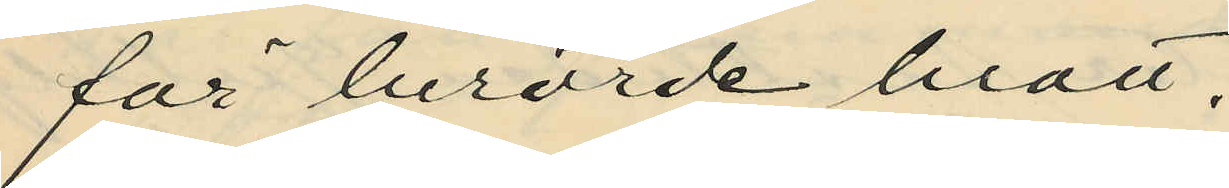för berörde brott.
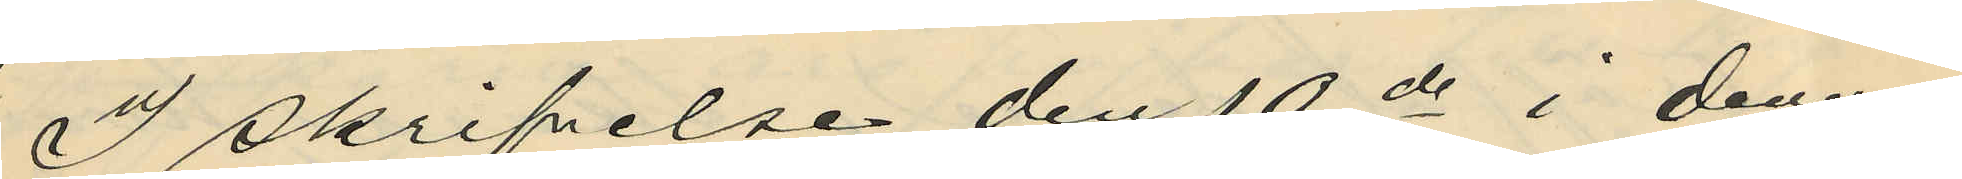I skrifvelse den 10de i denna
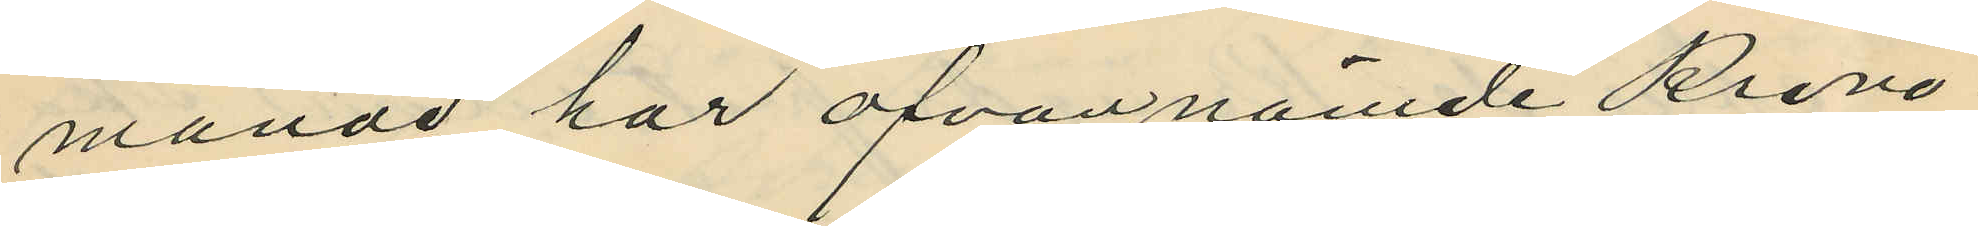månad har ofvannämde Krono¬
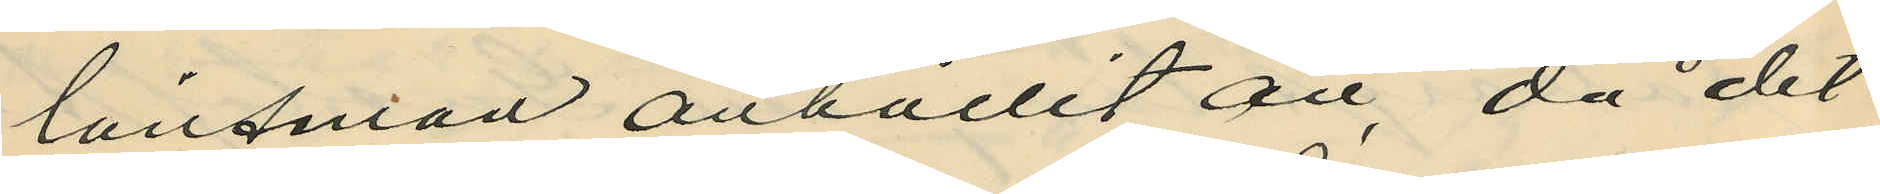länsman anhållit att, då det
